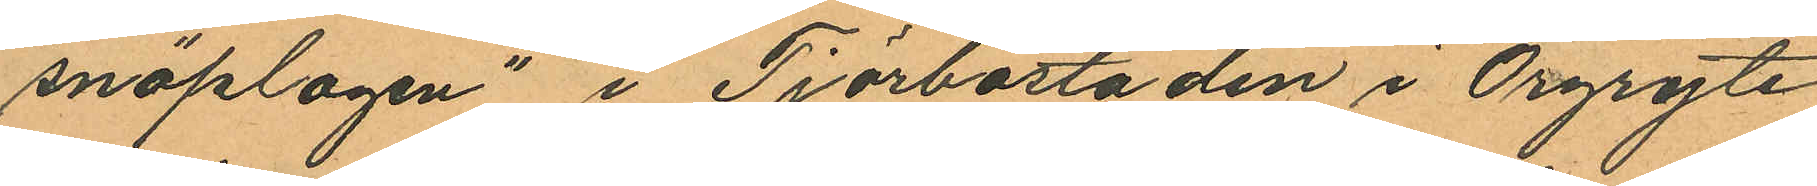"snöplogen" i Tjörbostaden i Örgryte
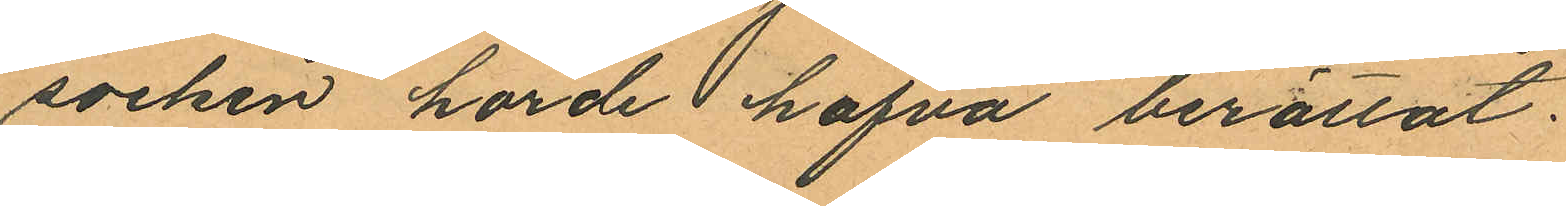socken horde hafva berättat.
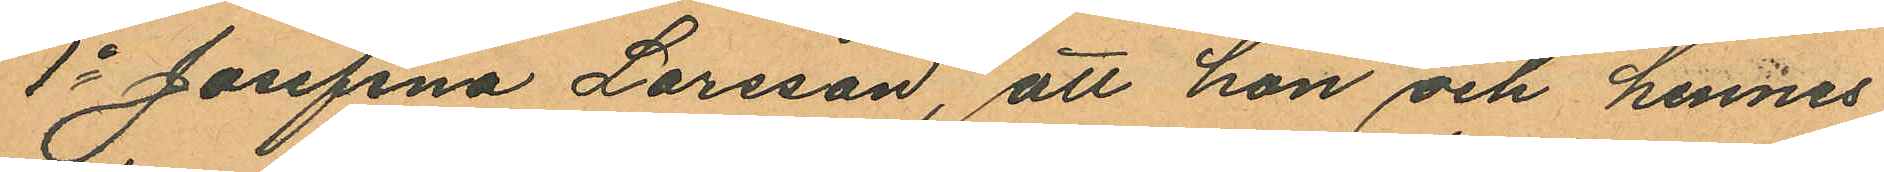1o Josefina Larsson, att hon och hennes
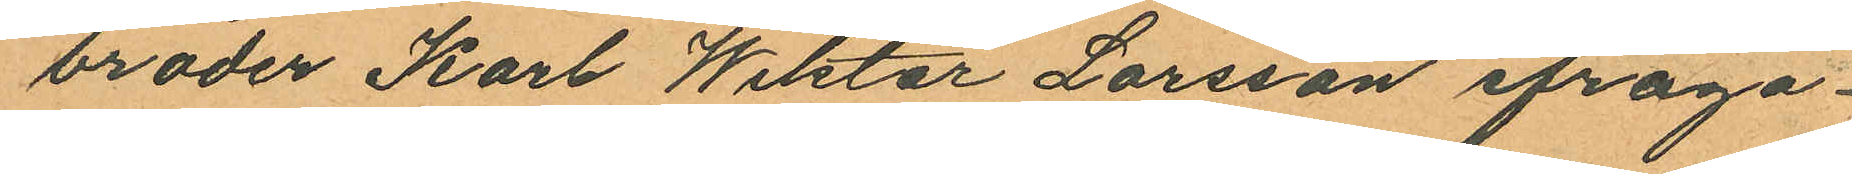broder Karl Wiktor Larsson ifråga¬
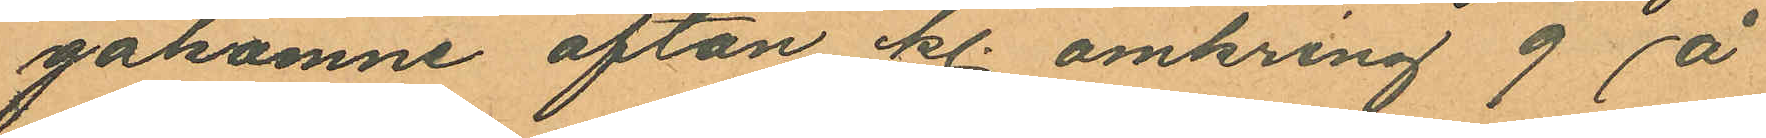gakomne afton kl. omkring 9 å
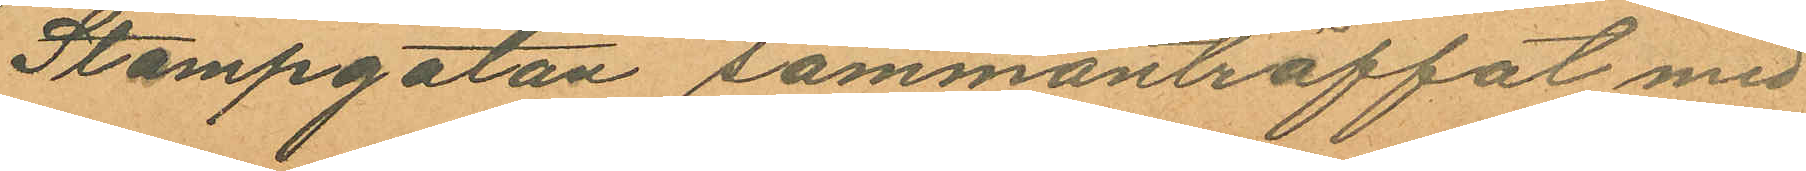Stampgatan sammanträffat med
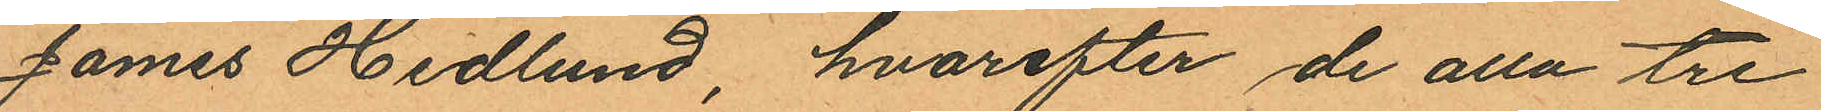James Hedlund, hvarefter de alla tre
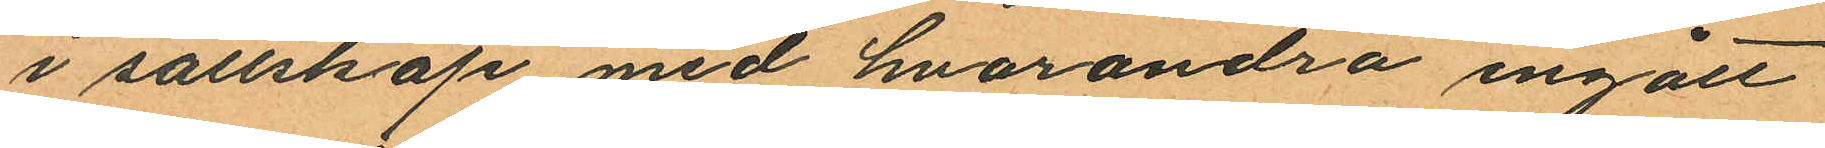i sällskap med hvarandra ingått
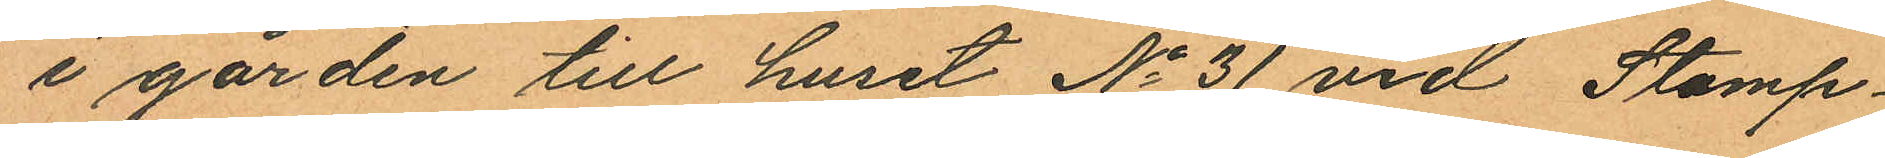i gården till huset No 31 vid Stamp¬
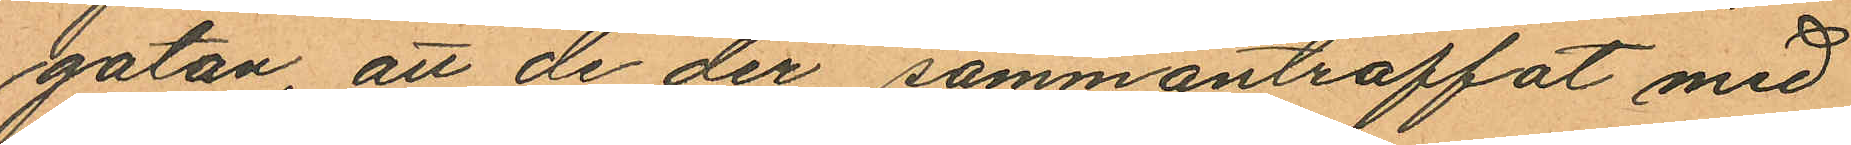gatan, att de der sammanträffat med
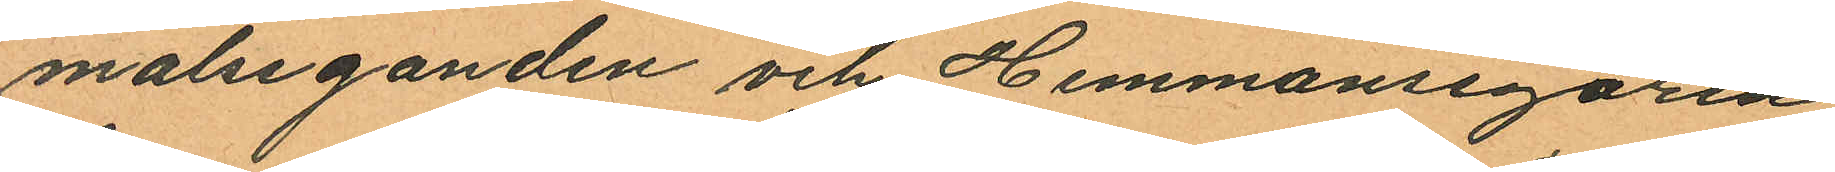målseganden och Hemmansegaren
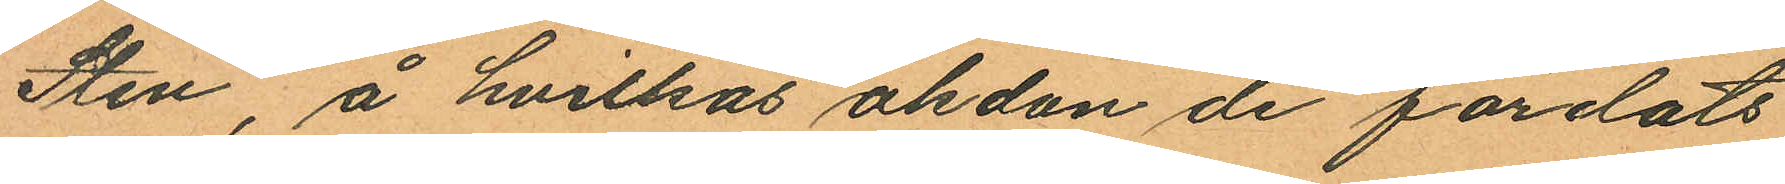Sten, å hvilkas åkdon de färdats
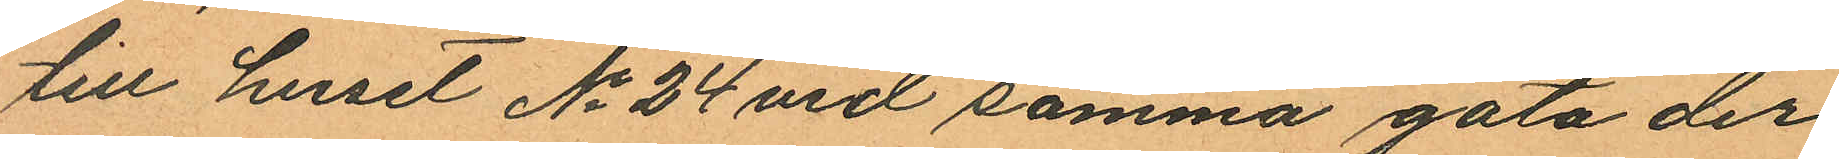till huset No 24 vid samma gata der
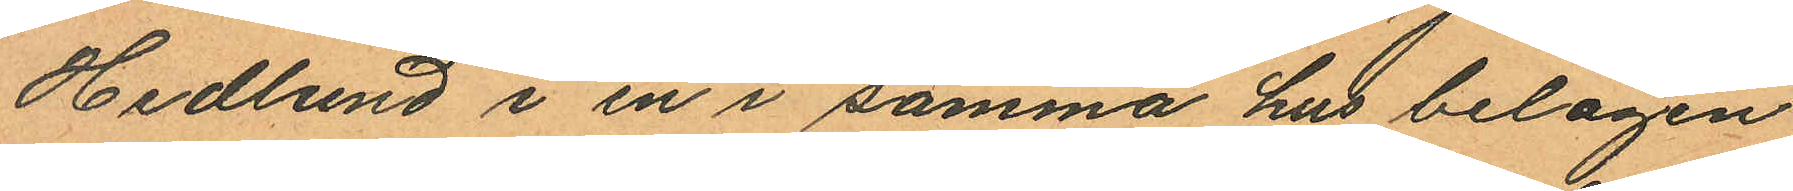Hedlund i en i samma hus belägen
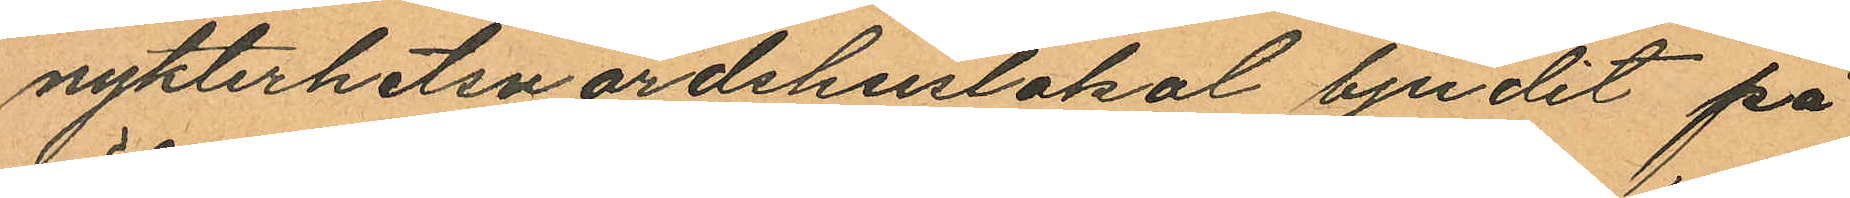nykterhetsvärdshuslokal bjudit på
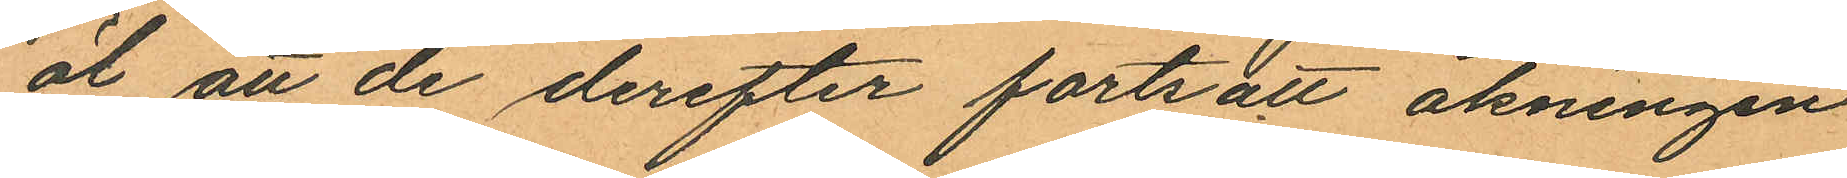öl att de derefter fortsatt åkningen
